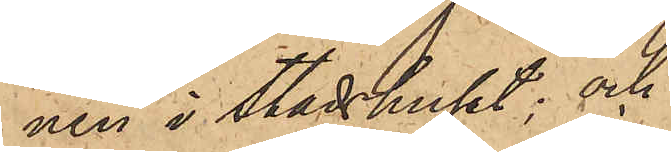nen i Stadshuset; och
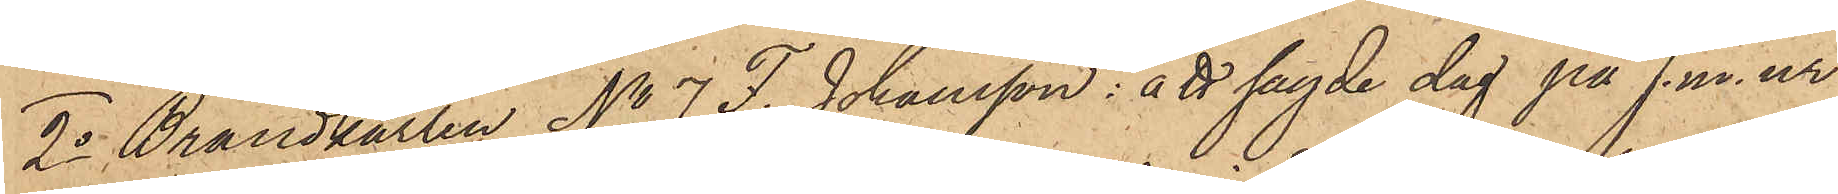2o Brandkarlen No 7 F. Johansson: att sagde dag på f. m. ur
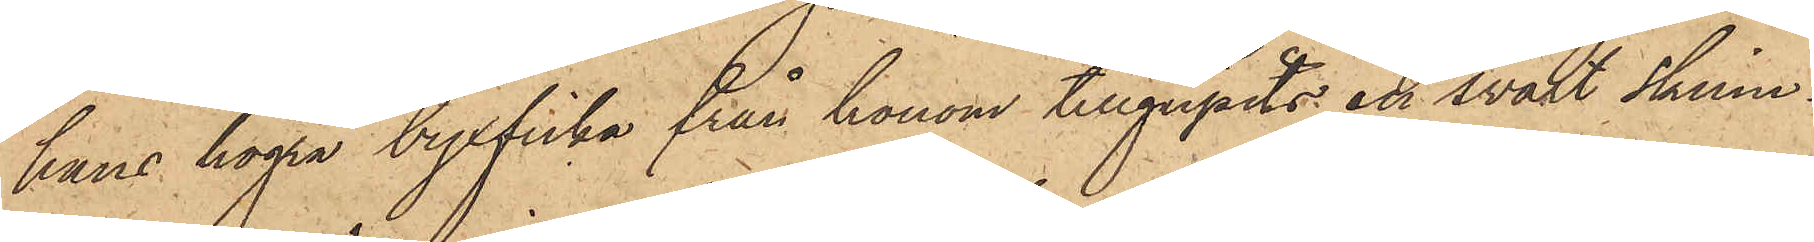hans högra byxficka från honom tillgripits en svart skinn¬
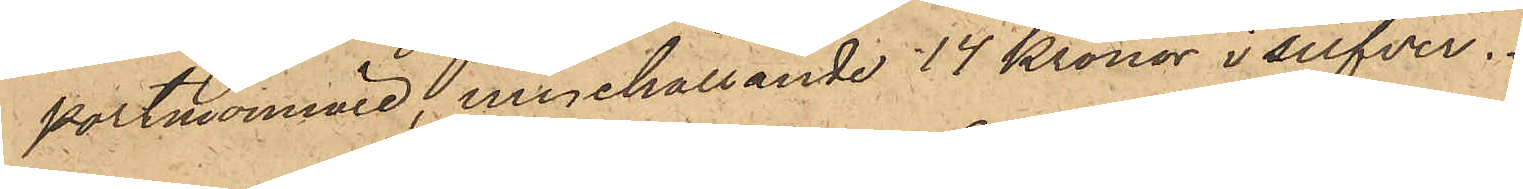portmonnaie, innehållande 14 Kronor i silfver.
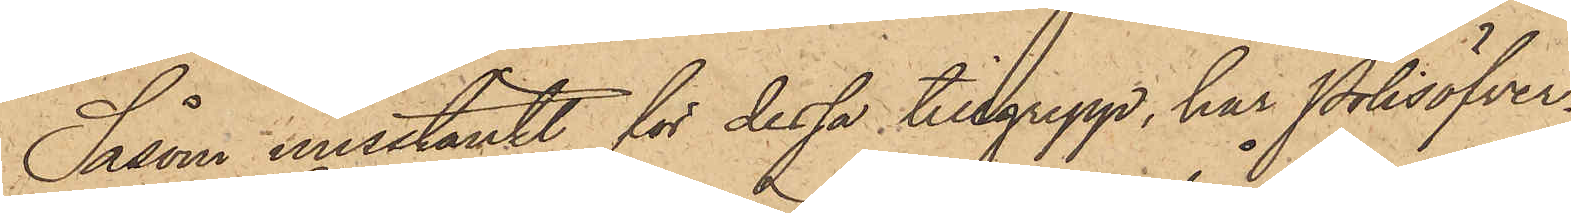Såsom misstänkt för dessa tillgrepp, har Polisöfver¬
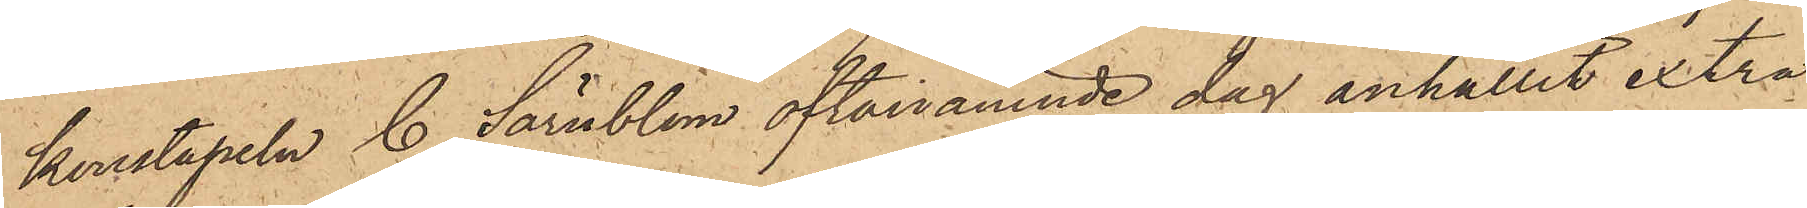konstapeln C. Särnblom oftanämnde dag anhållit extra
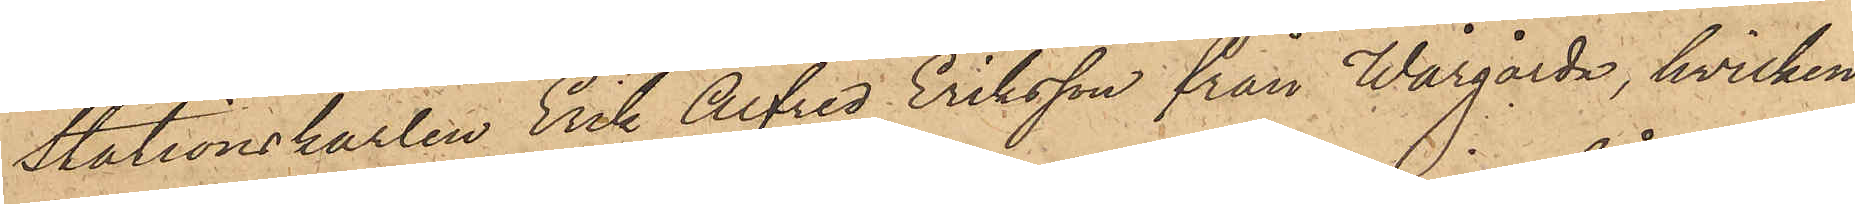Stationskarlen Erik Alfred Eriksson från Wårgårda, hvilken
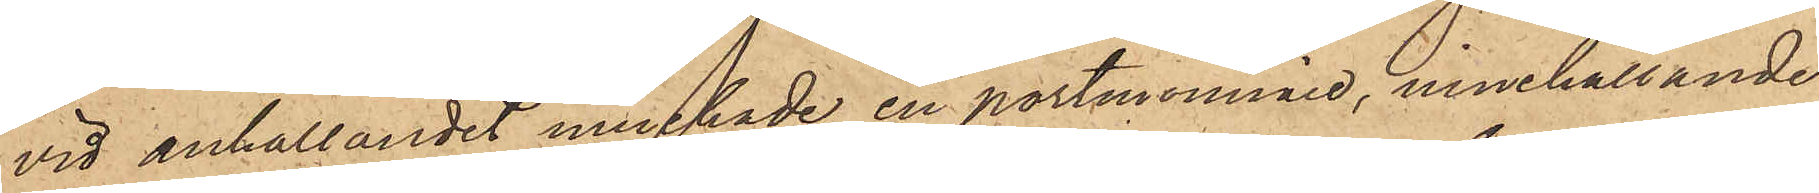vid anhållandet innehade en portmonnaie, innehållande
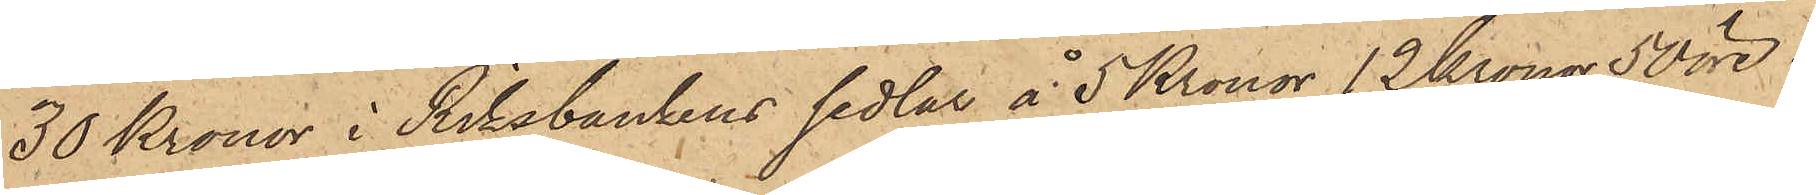30 Kronor i Riksbankens sedlar å 5 Kronor, 12 Kronor 50 öre i
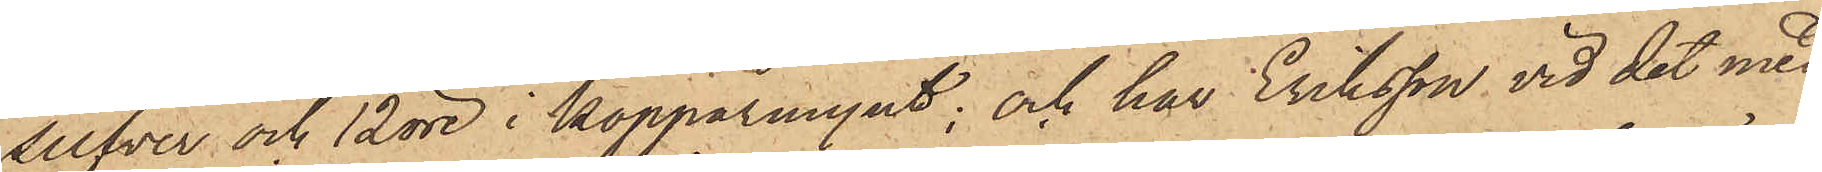silfver och 12 öre i kopparmynt; och har Eriksson vid det med
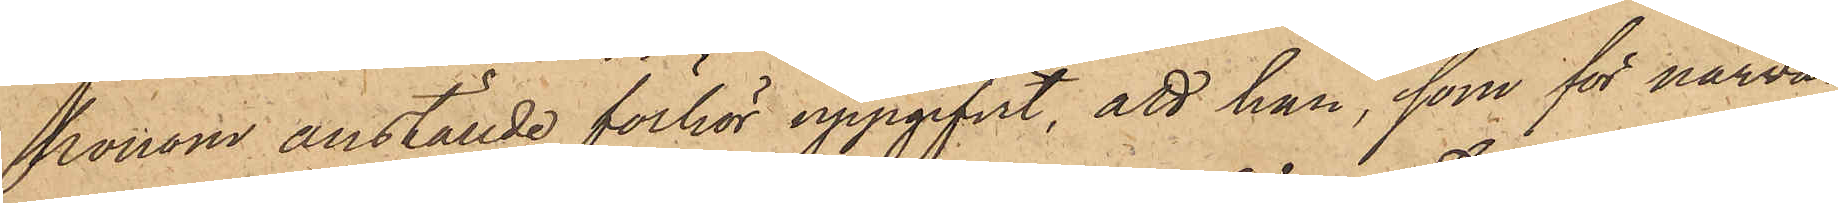honom anställde förhör uppgifvit, att han, som för närva¬
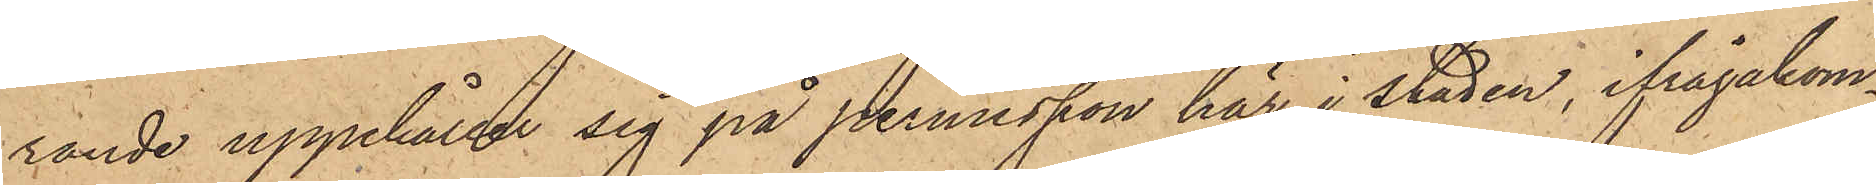rande uppehåller sig på permission här i staden, ifrågakom¬
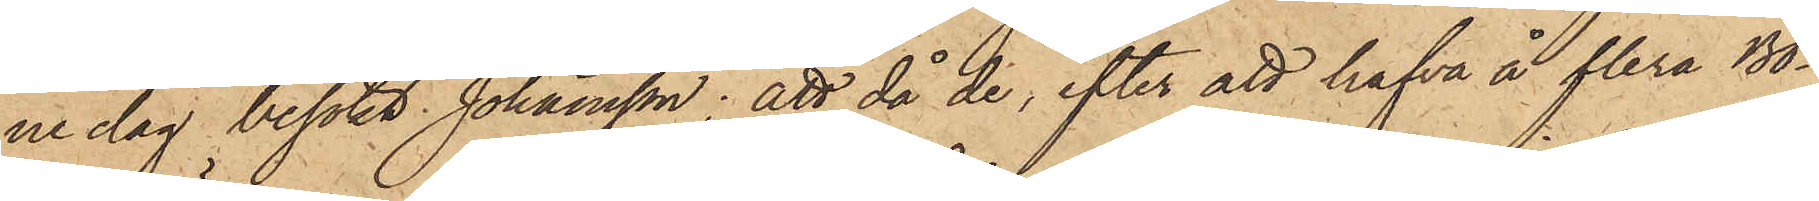ne dag besökt Johansson; att då de, efter att hafva å flera Bo¬
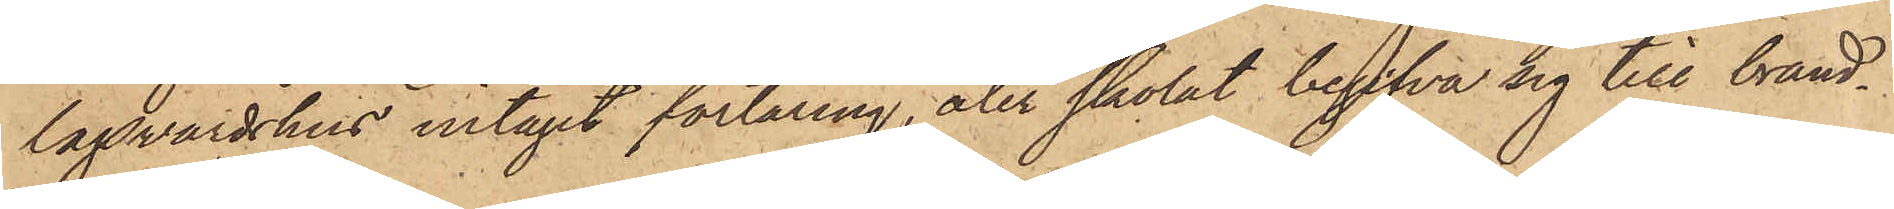lagsvärdshus intagit förtäring, åter skolat begifva sig till brand¬
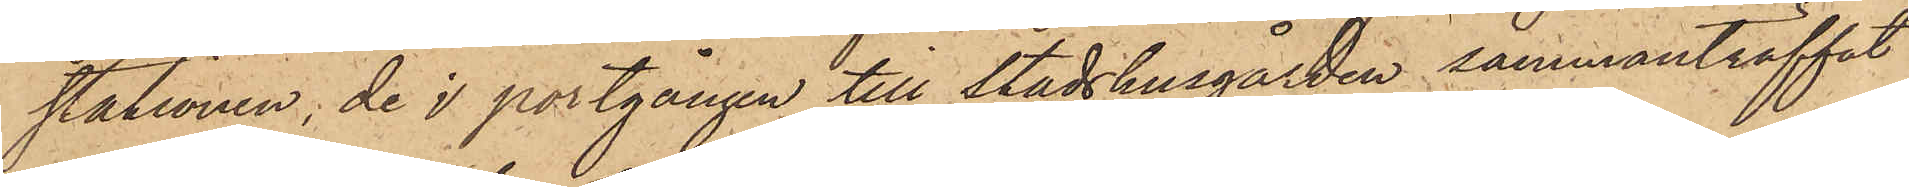stationen, de i portgången till Stadshusgården sammanträffat
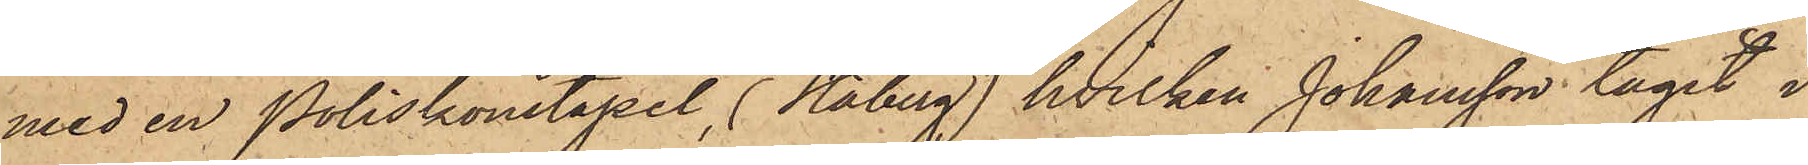med en Poliskonstapel, (Staberg), hvilken Johansson tagit i
